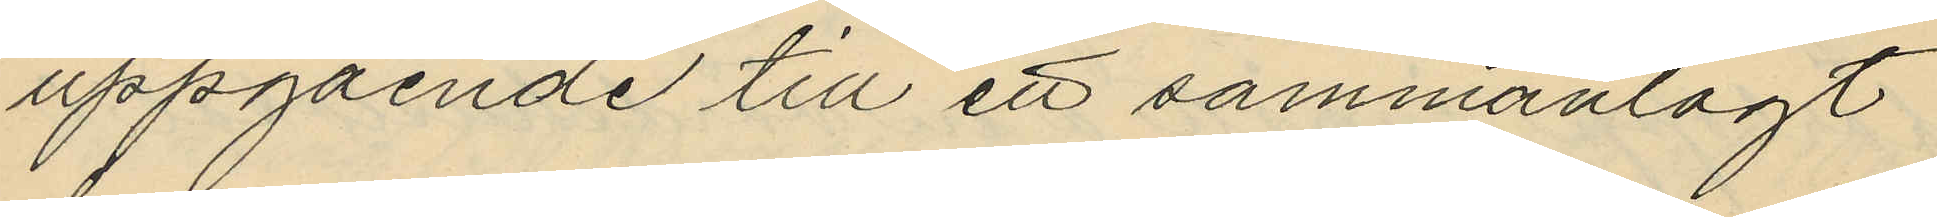uppgående till ett sammanlagt
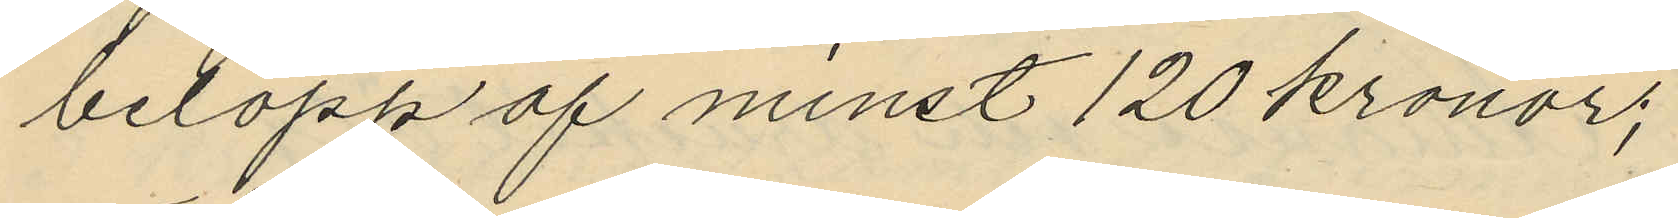belopp af minst 120 kronor;
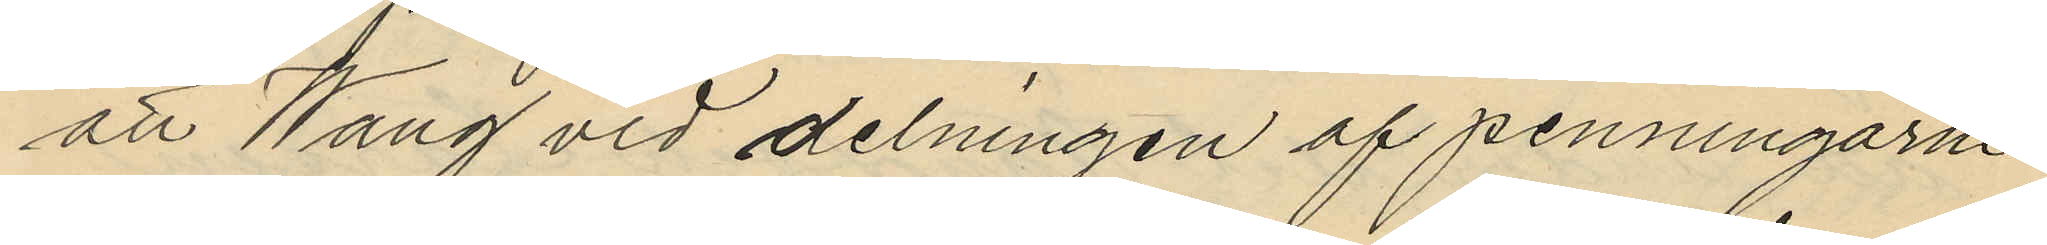att Wang vid delningen af penningarne
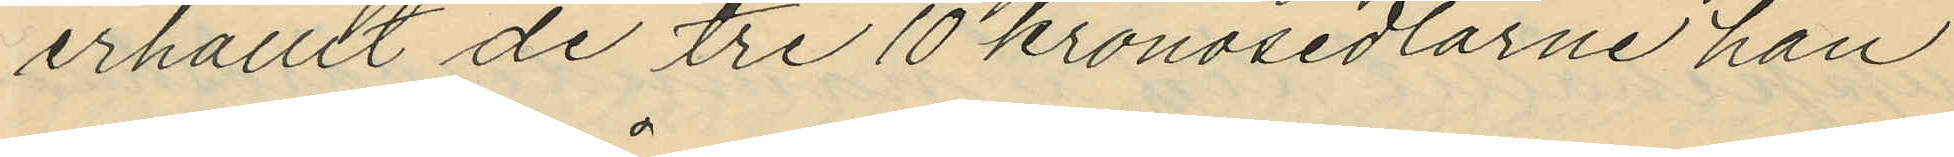erhållit de tre 10 kronosedlarne han
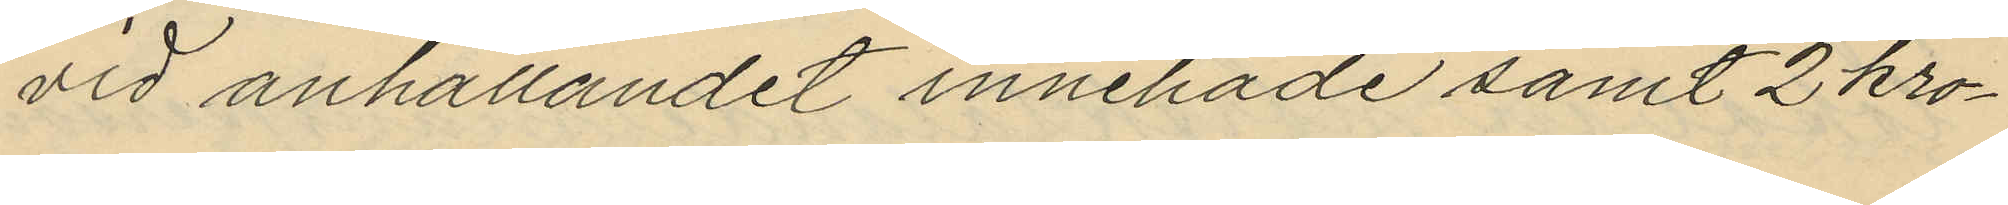vid anhållandet innehade samt 2 kro¬
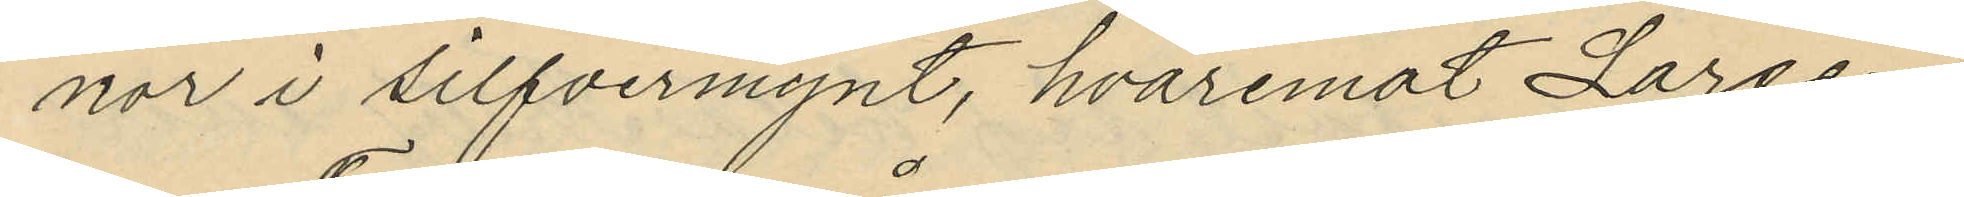nor i silfvermynt, hvaremot Larsen
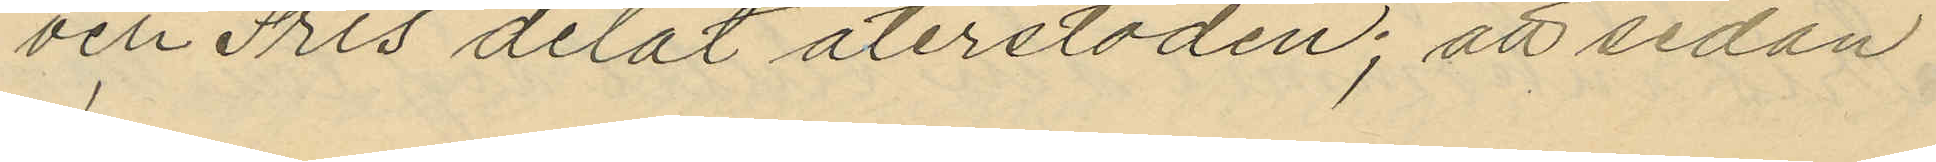och Fris delat återstoden; att sedan
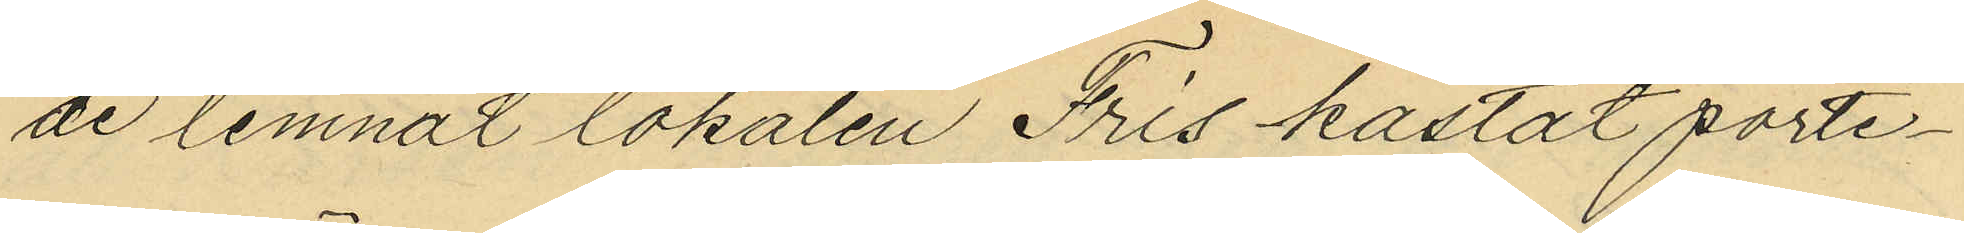de lemnat lokalen Fris kastat porte¬
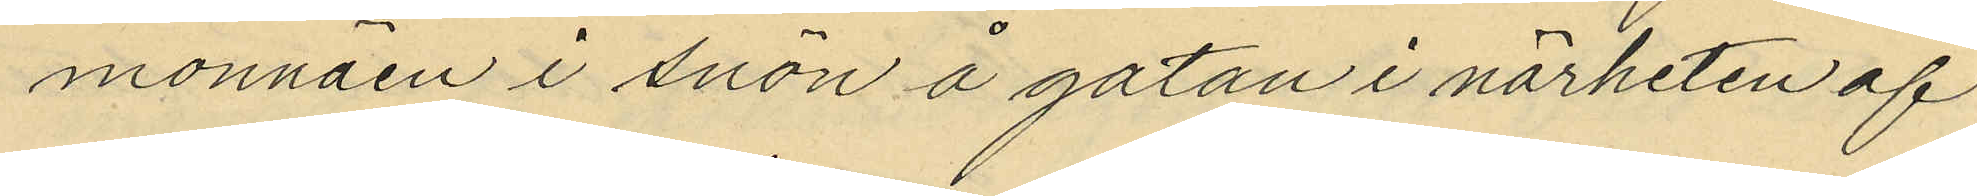monnäen i snön å gatan i närheten af
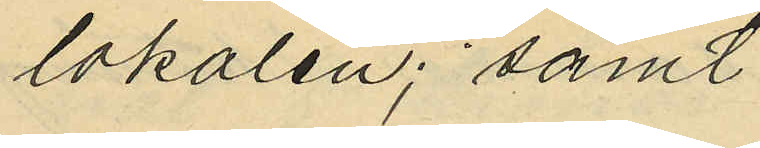lokalen; samt
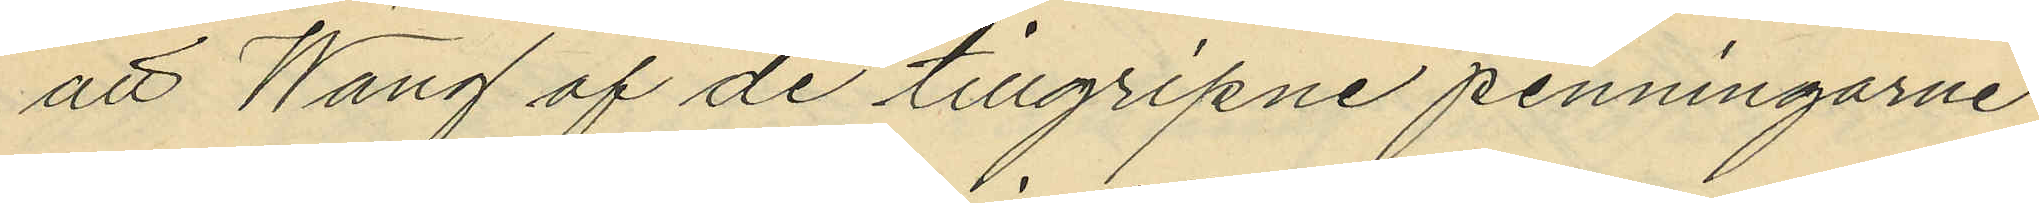att Wang af de tillgripne penningarne
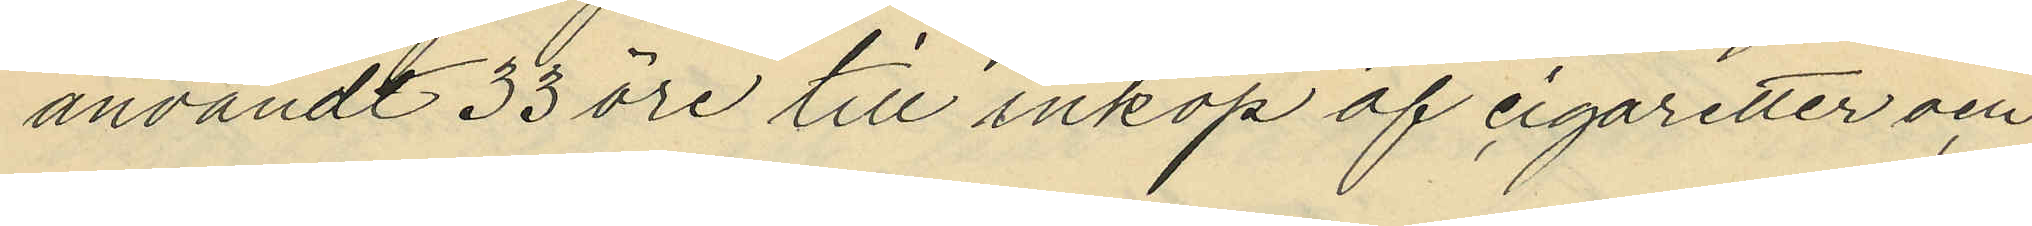användt 33 öre till inköp af cigaretter och
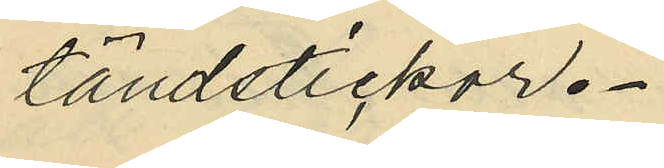tändstickor.
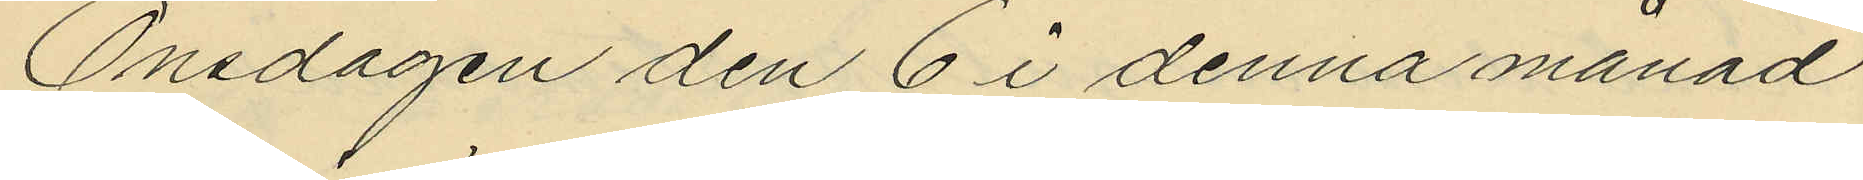Onsdagen den 6 i denna månad
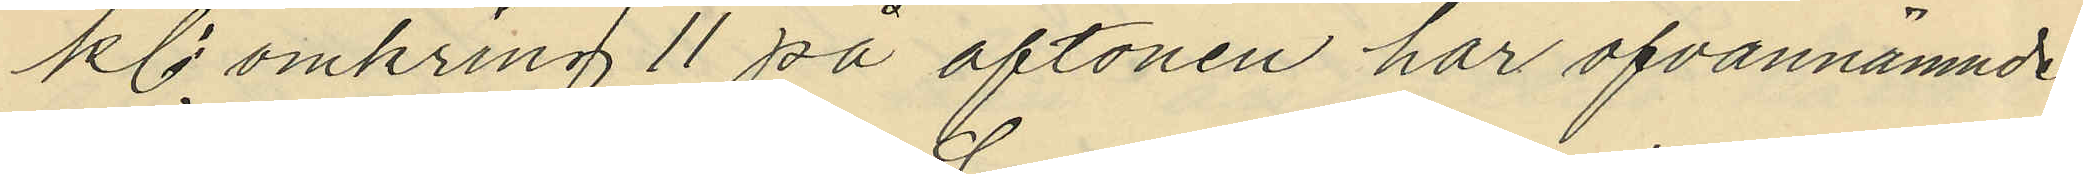kl. omkring 11 på aftonen har ofvannämnde
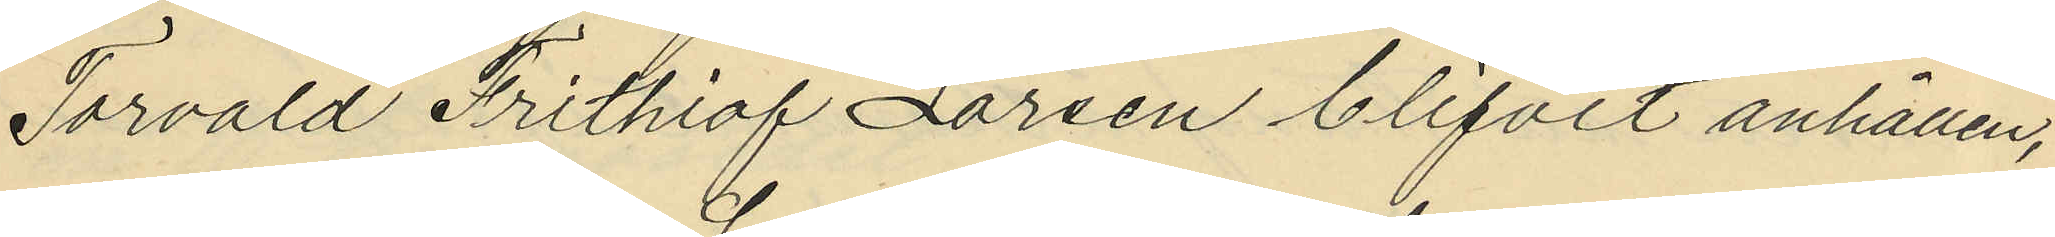Torvald Frithiof Larsen blifvit anhållen,
